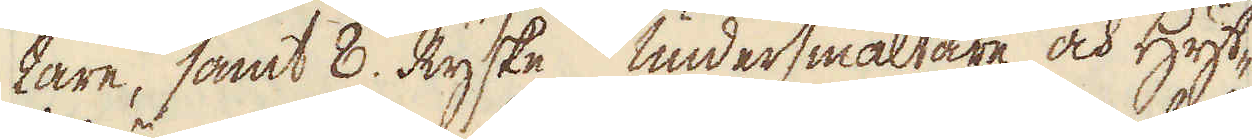tare, samt 8. Ryske undersmältare och Hyt-
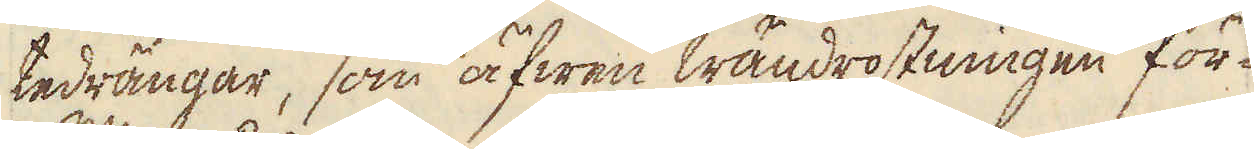tedrängar, som äfwen wändrostningen för-
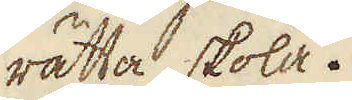rätta skola.
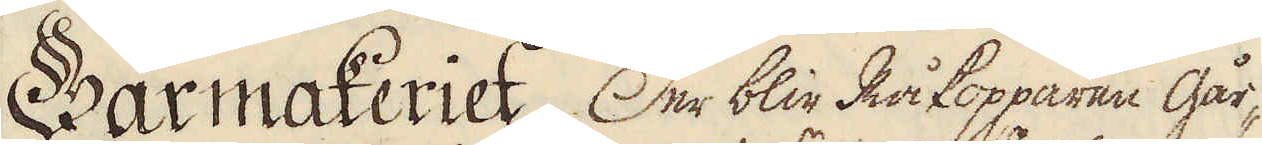Gårmakeriet. Der blir Råkopparen går-
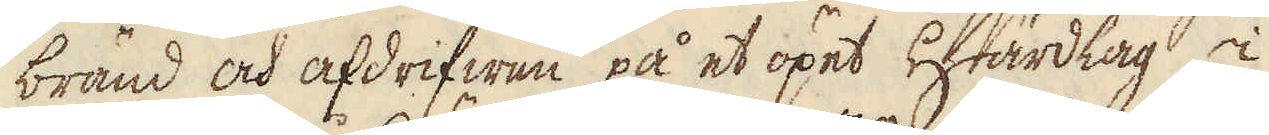bränd och afdrifwen på et öpet Härdlag i
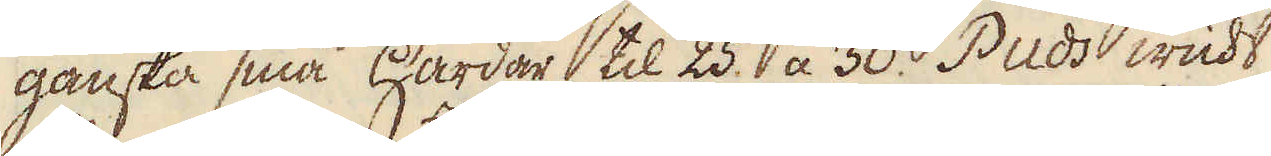ganska små Härdar til 25. a 30. Puds wicht
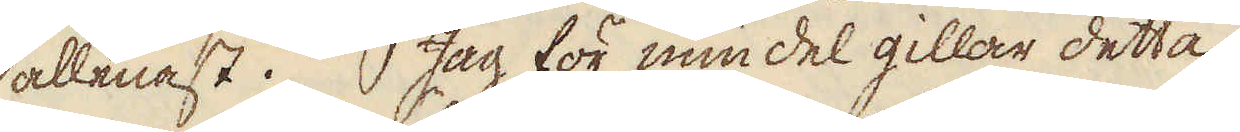allenast. Jag för min del gillar detta
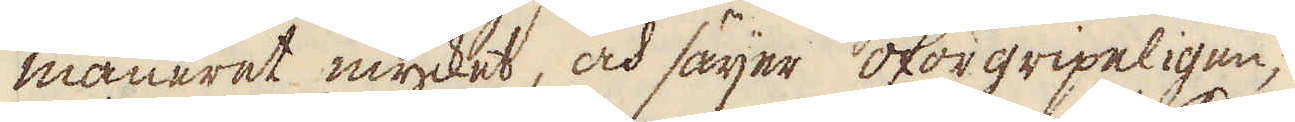maneret mycket, och säijer oförgripeligen,
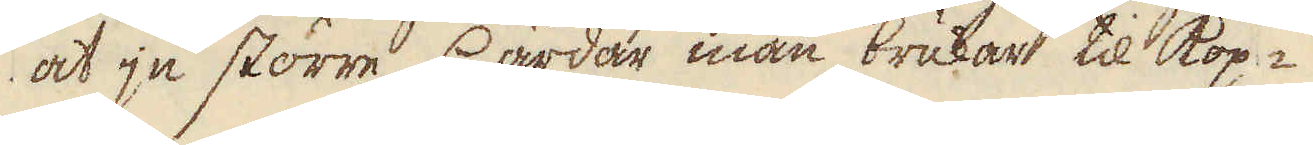at ju större Härdar man brukar til kop-
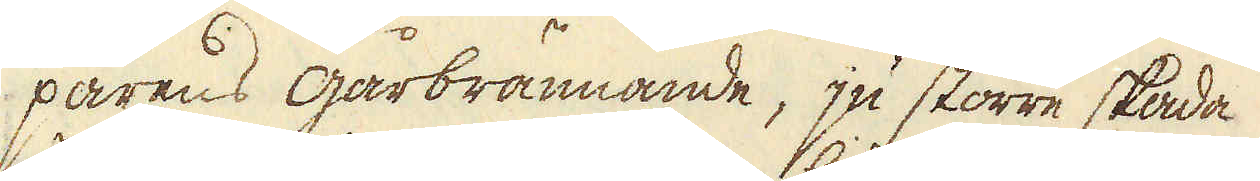parens gårbrännande, ju större skada
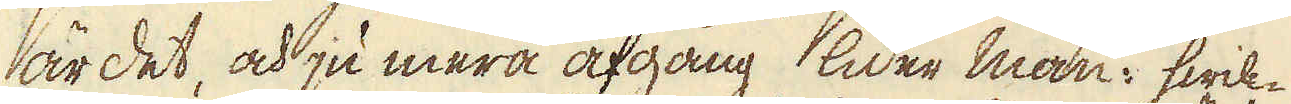är det, och ju mera afgång lider man: hwil-
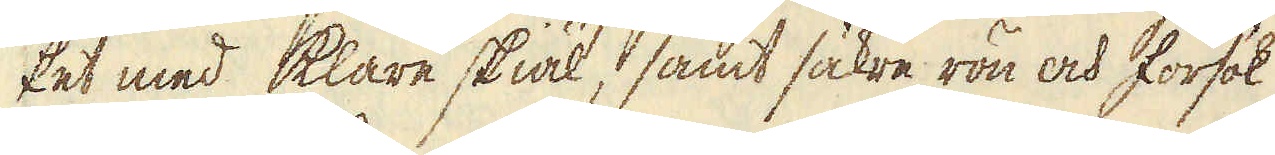ket med klare skiäl, samt säkre rön och försök,
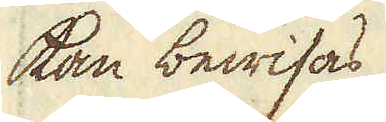kan bewisas
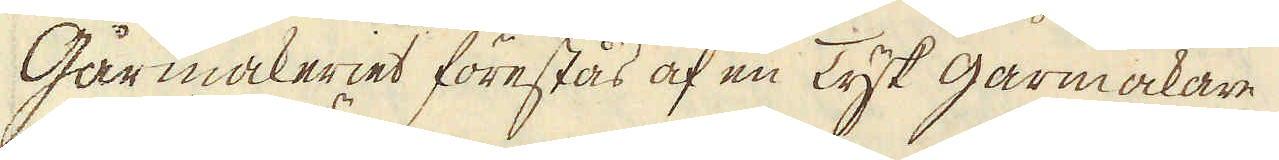Gårmakeriet förestås af en Tysk gårmakare
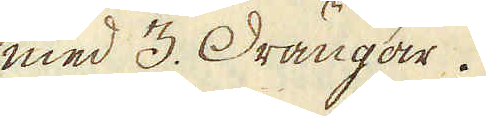med 3. Drängar.
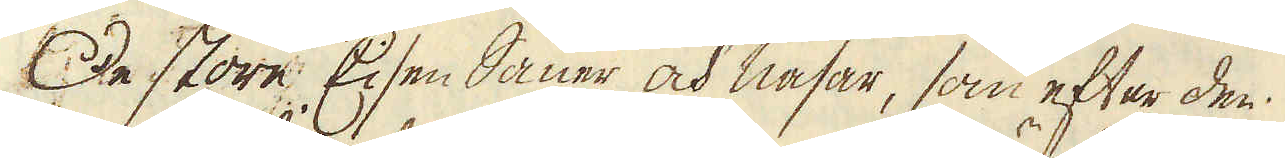De store Eisen Sauer och nasar, som efter den
